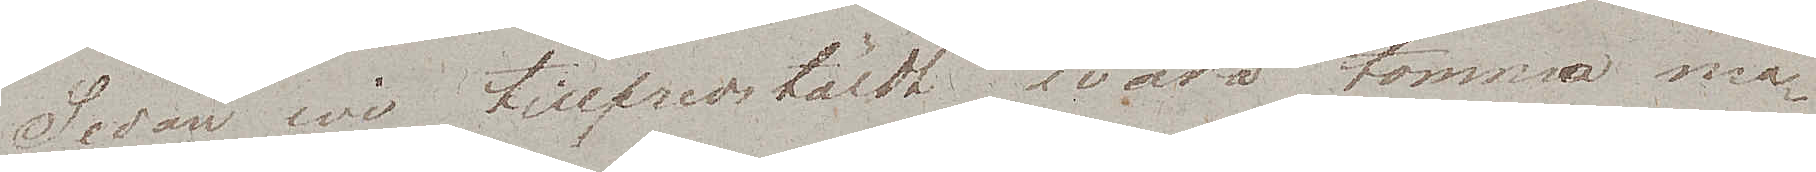Sedan wi tillfredstäldt wåra tomma ma¬
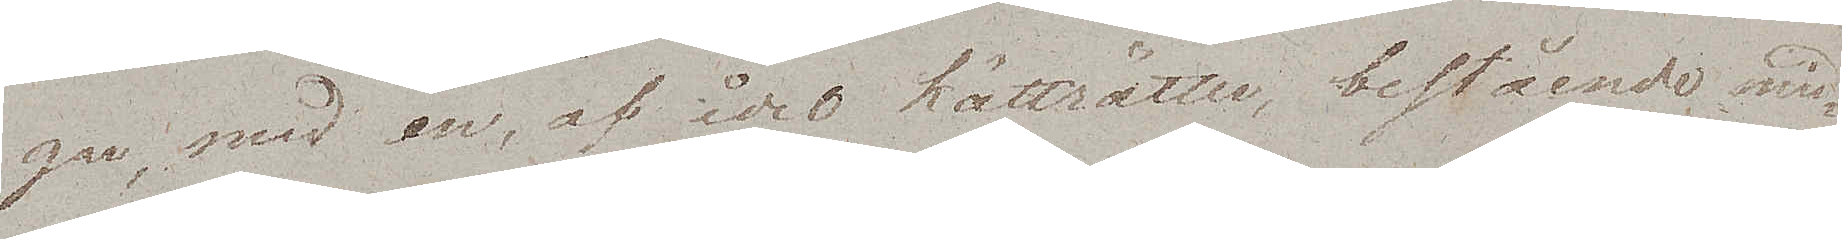gar, med en, af idel kötträtter, bestående mid¬
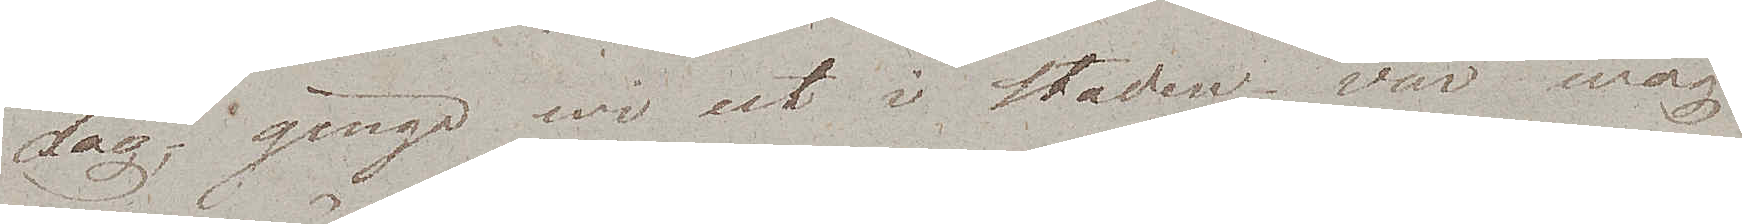dag gingo wi ut i staden. Vår wäg
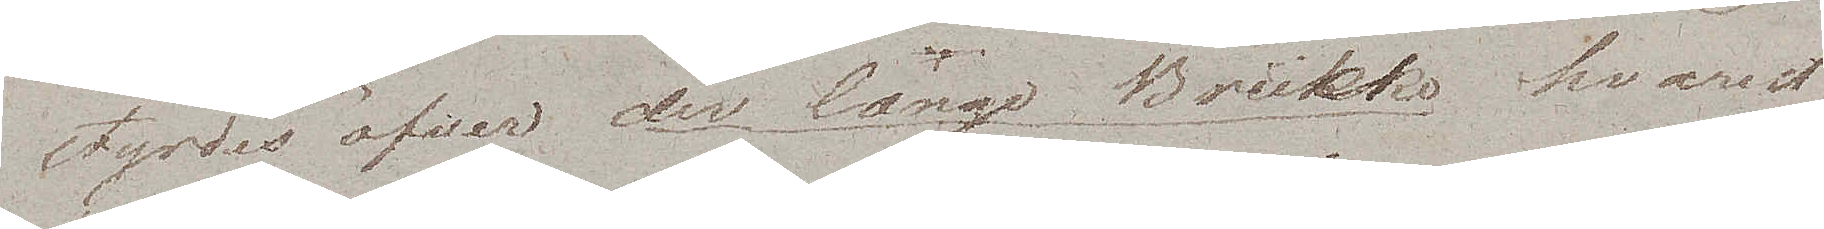styrdes öfver der lange Brücke hvarest
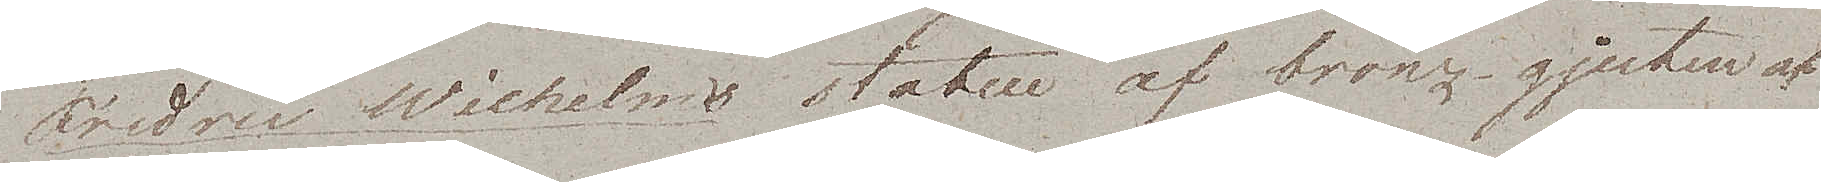Fredric Wilhelms statue af bronz gjuten af
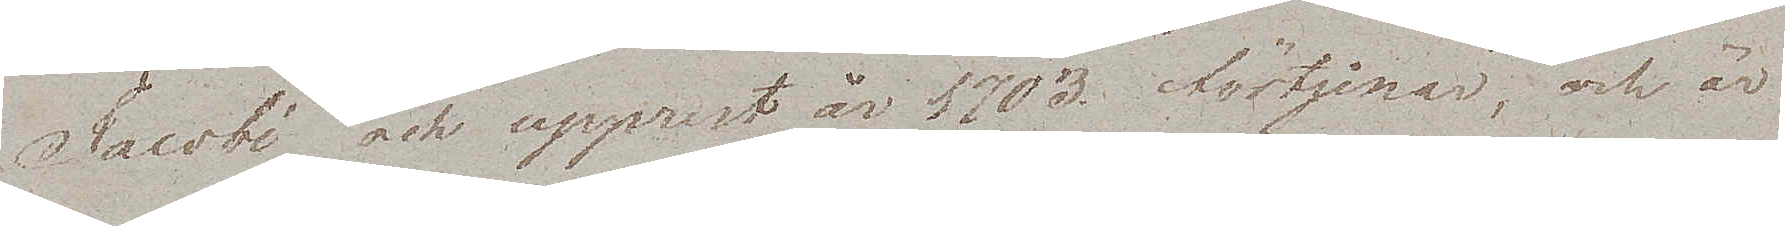Jacobi och upprest år 1703 förtjenar, och är
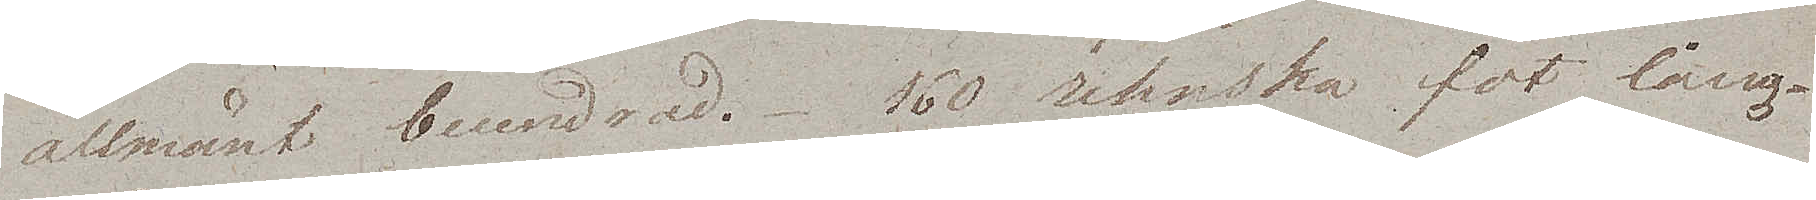allmänt beundrad. 160 rehnska fot långa
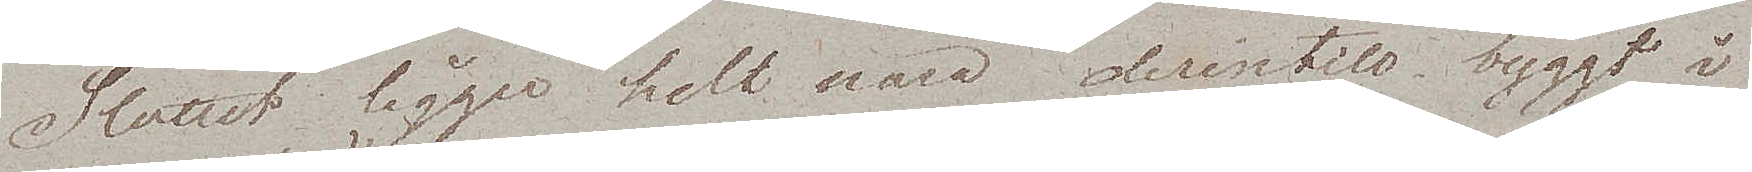Slottet ligger helt nära derintill, byggt i
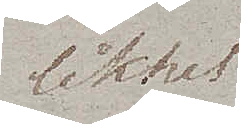likhet
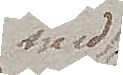med
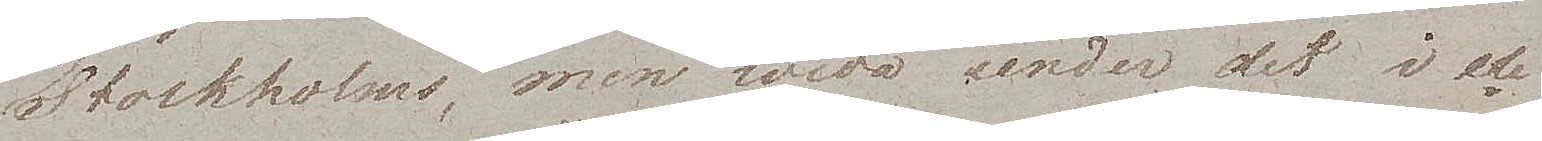Stockholms, men wida under det i ele¬
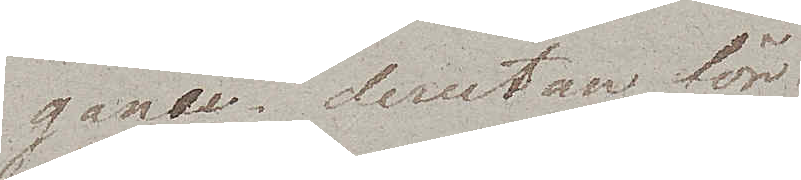gance, derutan för
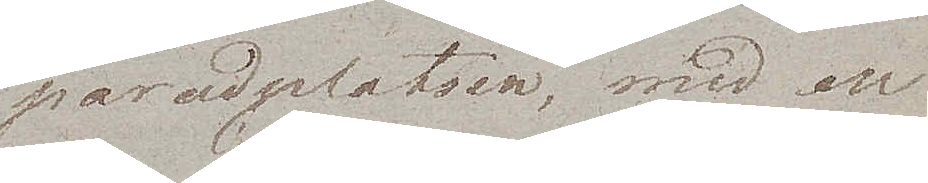paradplatsen, med en
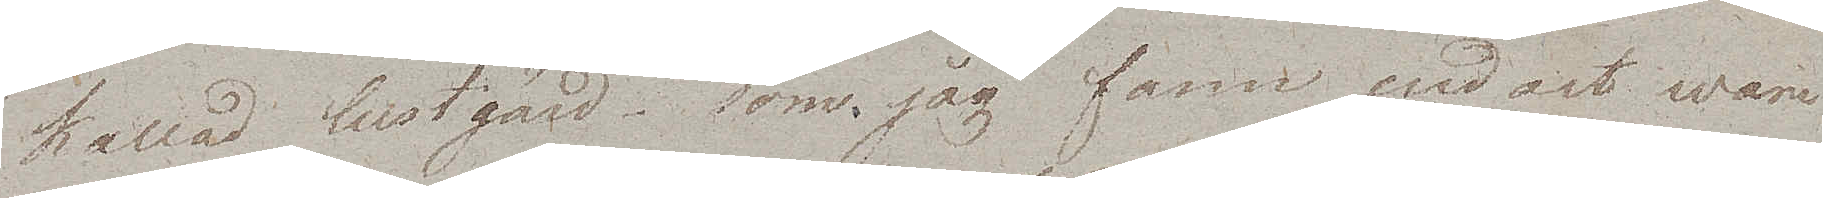kallad lustgård – som jag fann endast wore
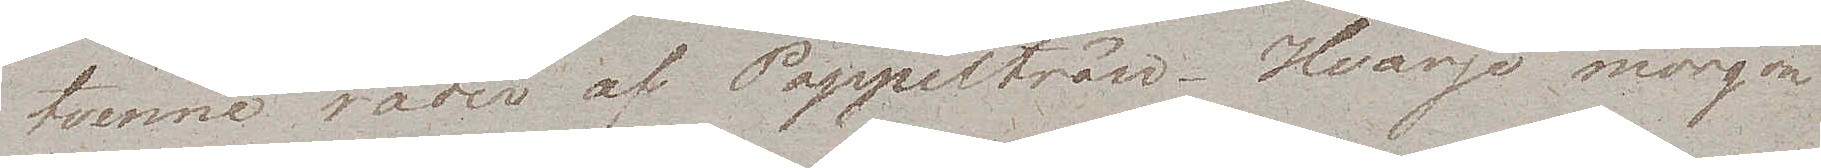tvenne rader av Poppelträn. Hvarje morgon
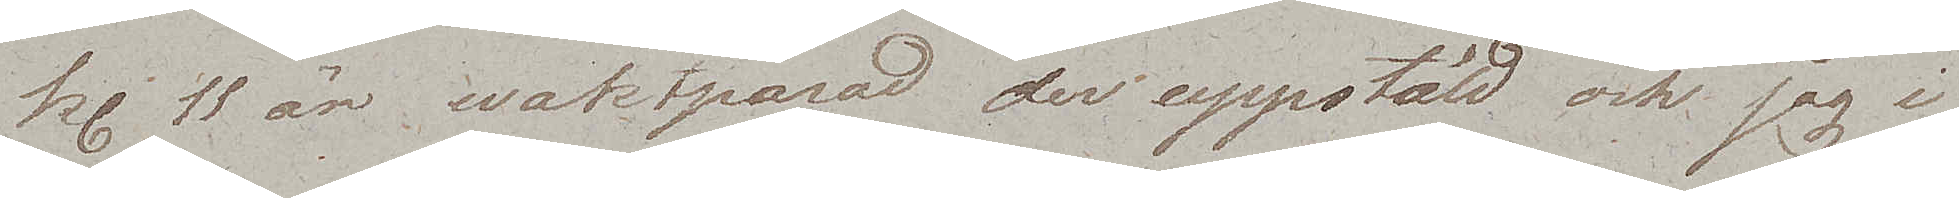kl. 11 är waktparad der uppstäld och jag i
